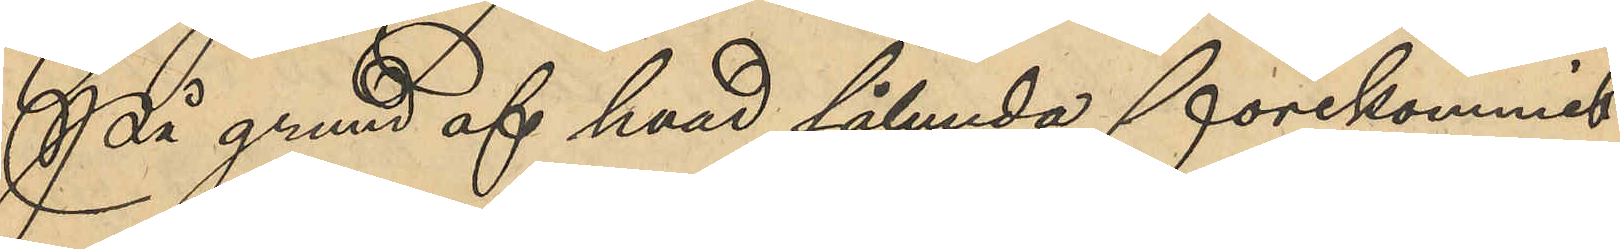På grund af hvad sålunda förekommit
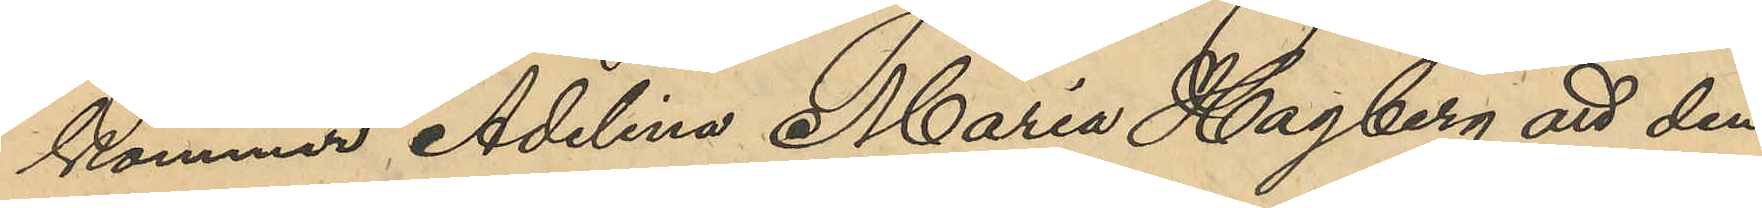kommer Adelina Maria Hagberg att den¬
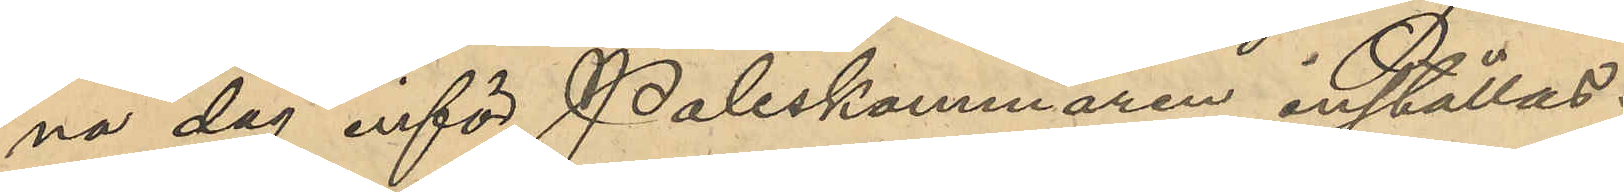na dag inför Poliskammaren inställas.
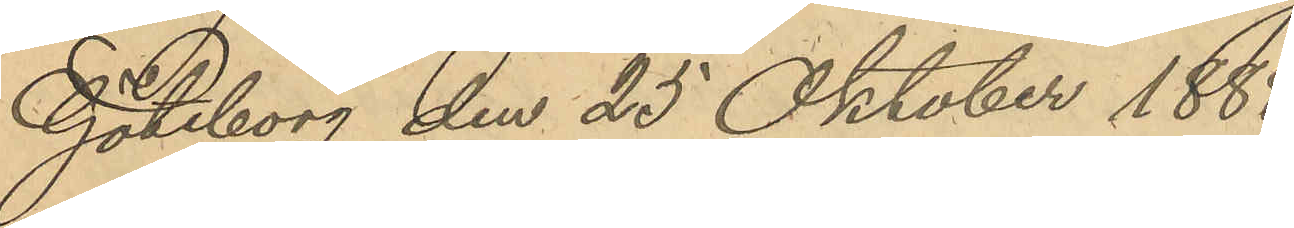Göteborg den 25 Oktober 1888.
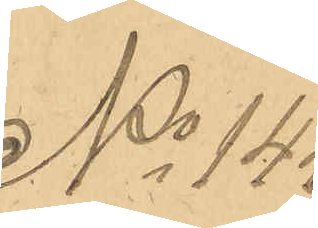No 144
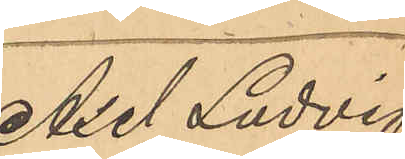Axel Ludvig
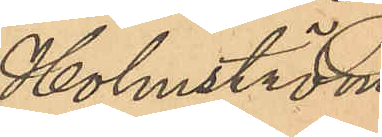Holmström
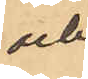och
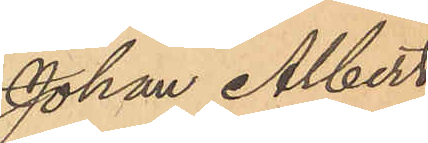Johan Albert
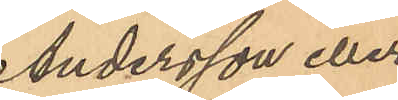Andersson eller
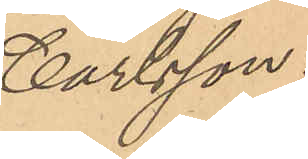Carlsson.
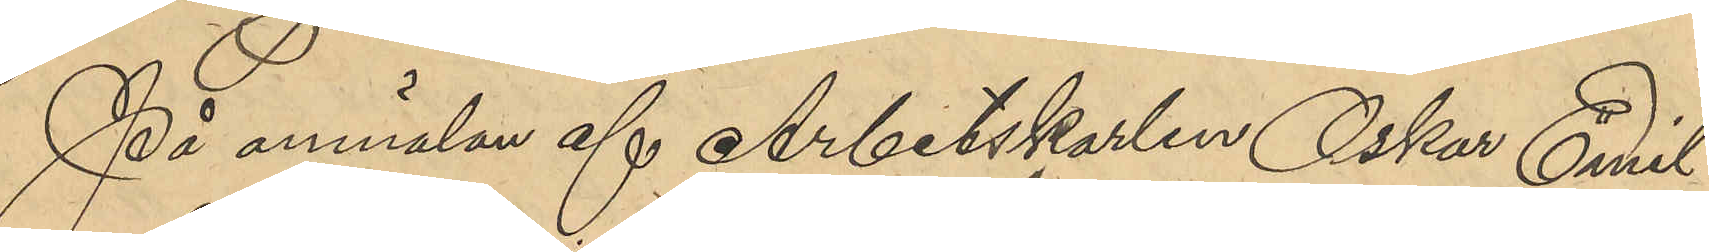På anmälan af Arbetskarlen Oskar Emil
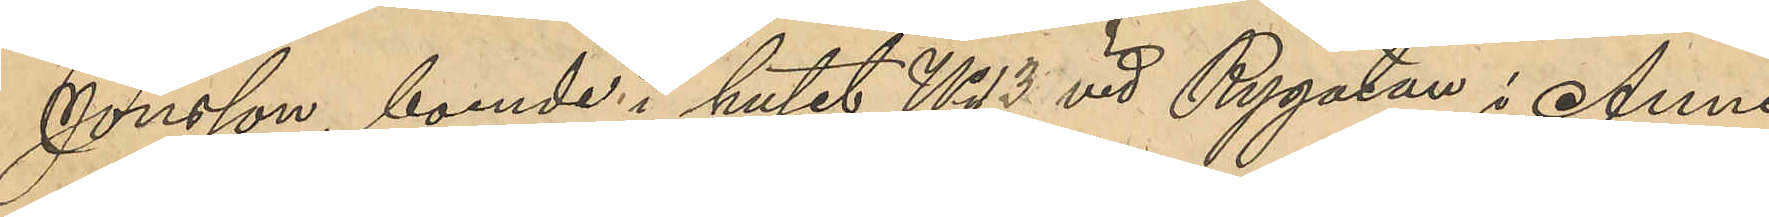Jonsson, boende i huset No 13 vid Rygatan i Anne¬
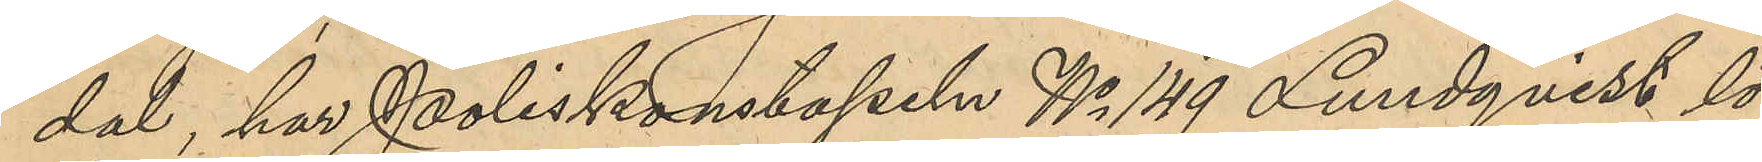dal, har Poliskonstapeln No 149 Lundqvist lör¬
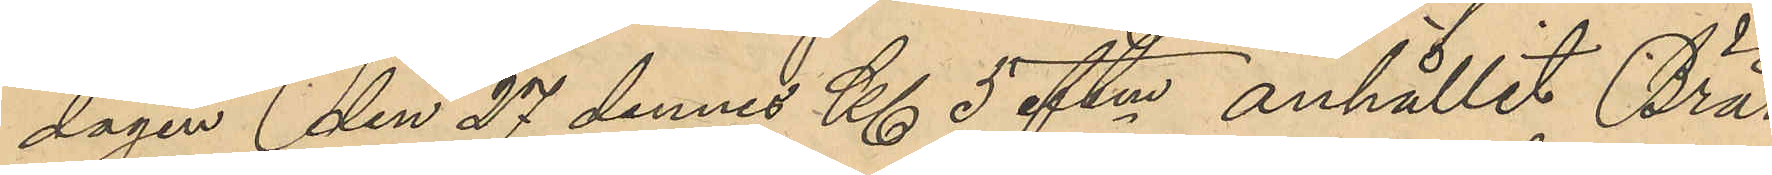dagen den 27 dennes Kl 5 eftm anhållit Bräd¬
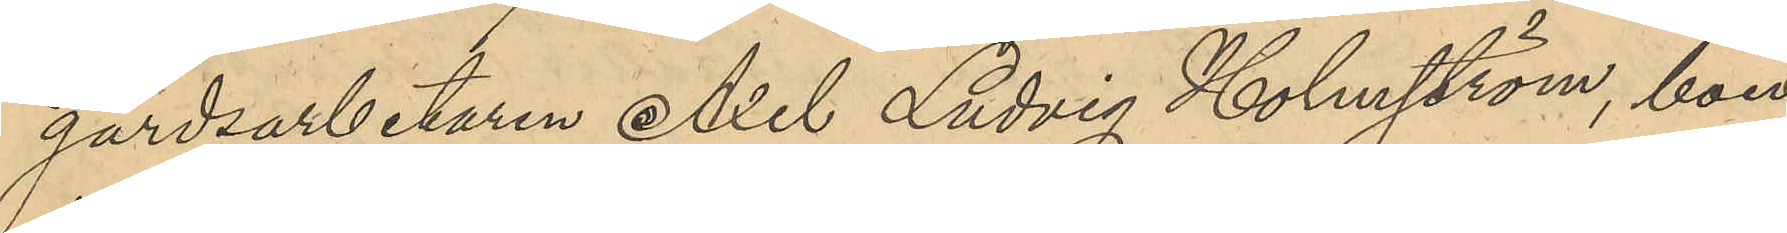gårdsarbetaren Axel Ludvig Holmström, boen¬
